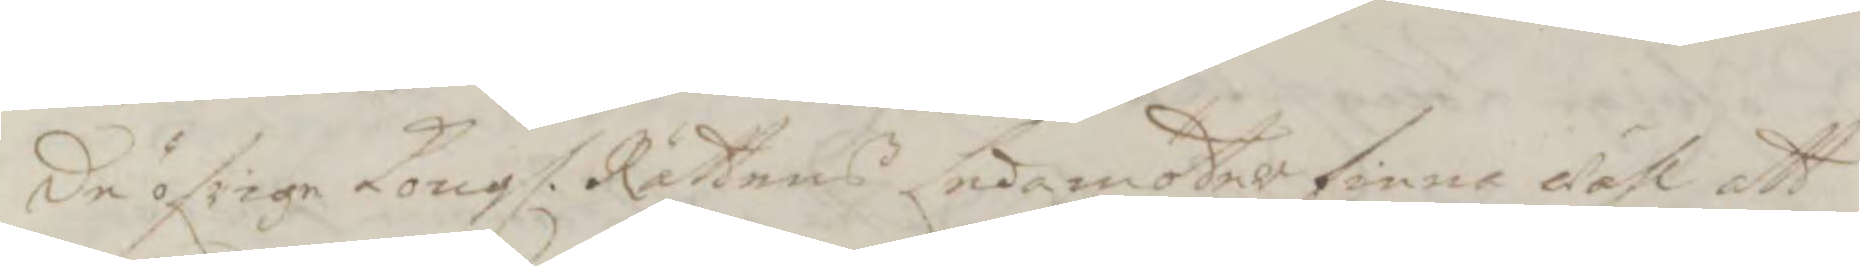de öfrige Kongl. Rättens Ledamöter finna wähl att
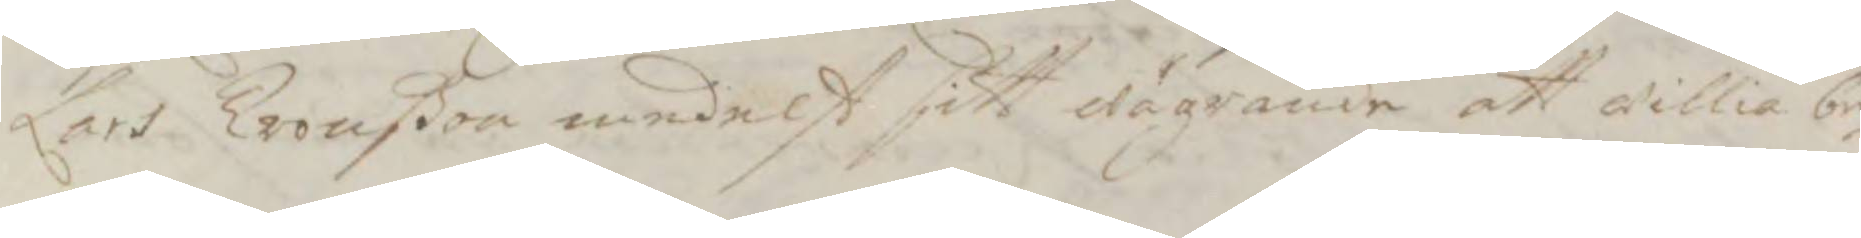Lars Tronßon medelst sitt wägrande att willia be¬
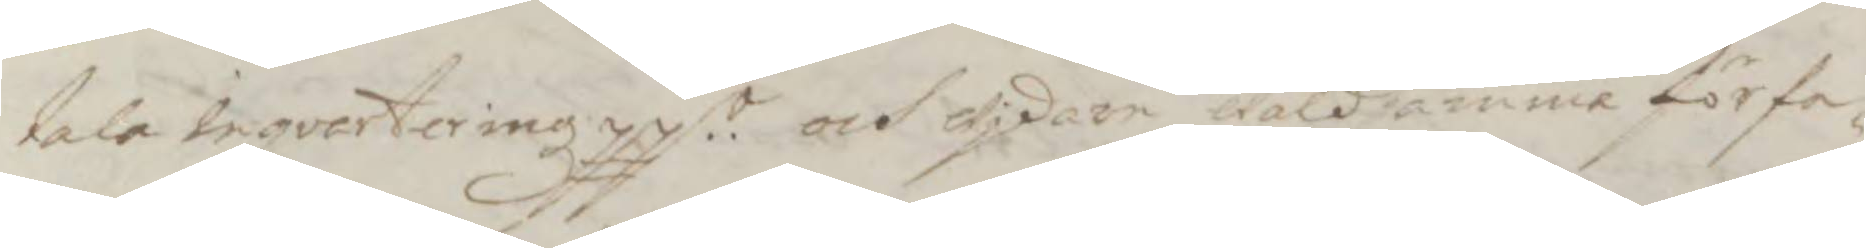tala inqvarteringz ppr.. och widare wåldsamma förfa¬
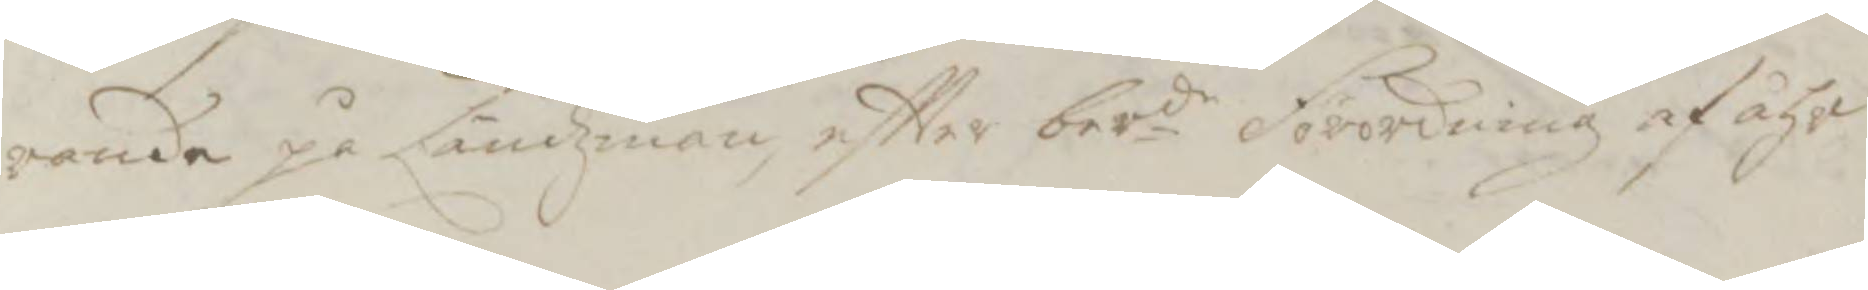rande på Ländzman, eftter berde Förordning af åhr
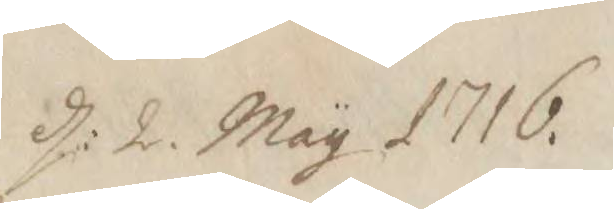d: 2. May 1716.
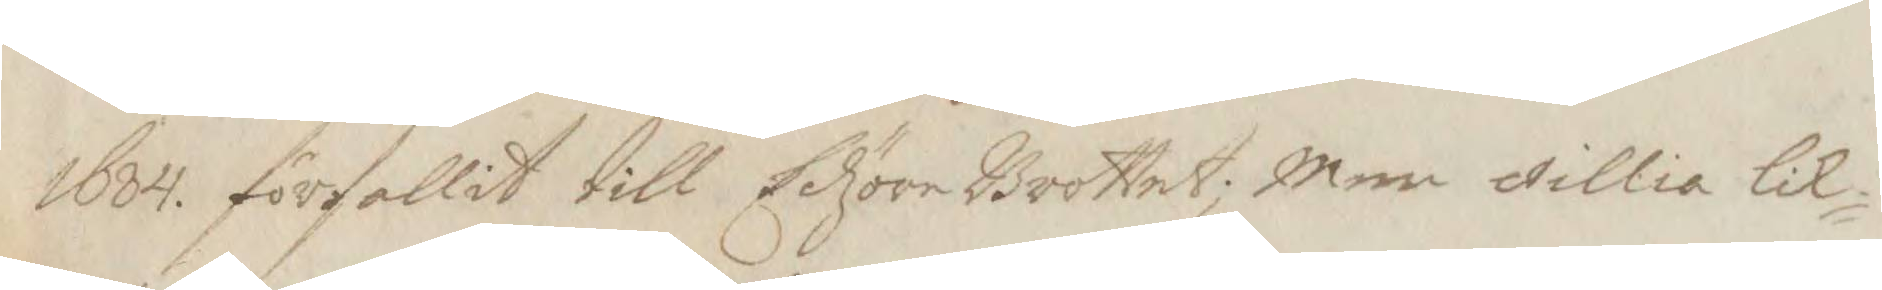1684. förfallit till Edzöre Brottet; Men willia lik¬
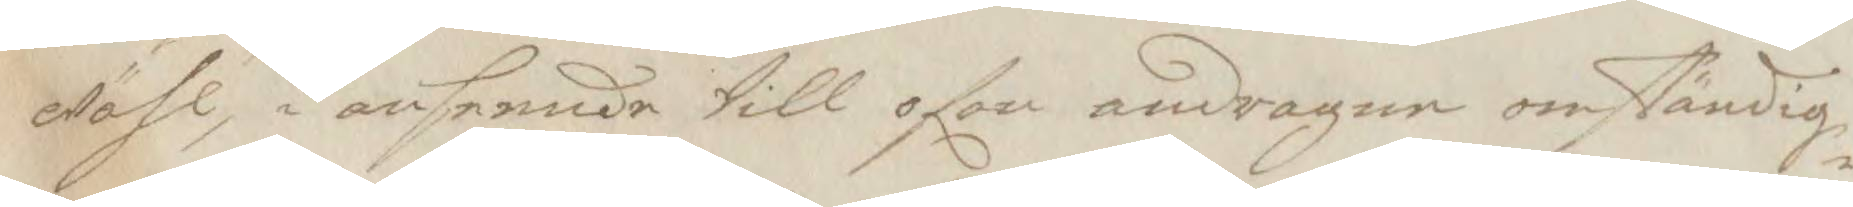wähl, i anseende till ofan andragne omständig¬
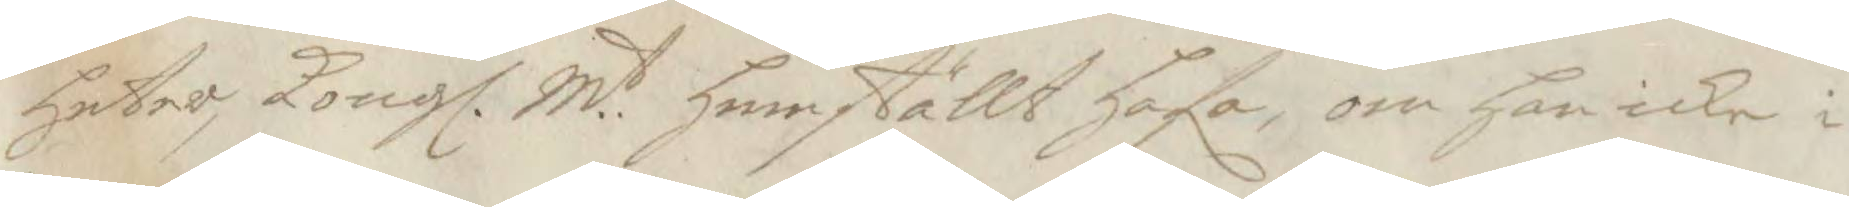heter, Kongl. M.t hemställt hafa, om han icke i
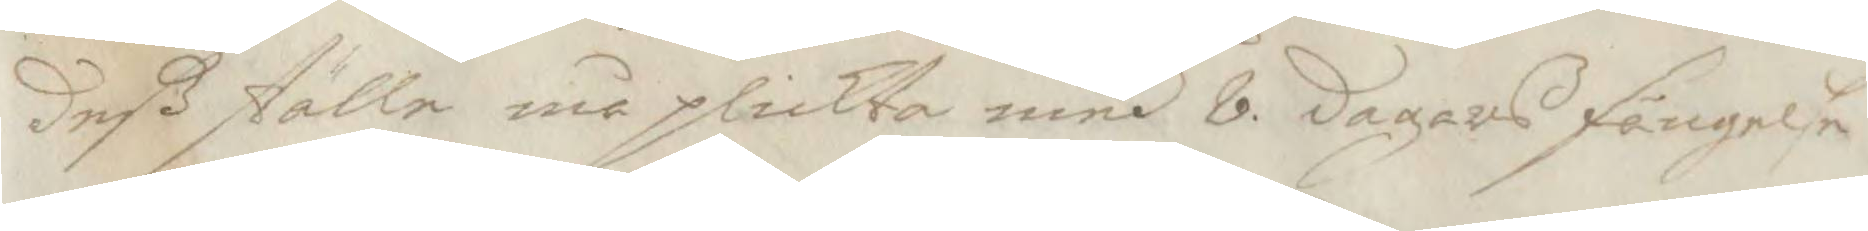deV ställe må plickta med 8. dagars fängelse
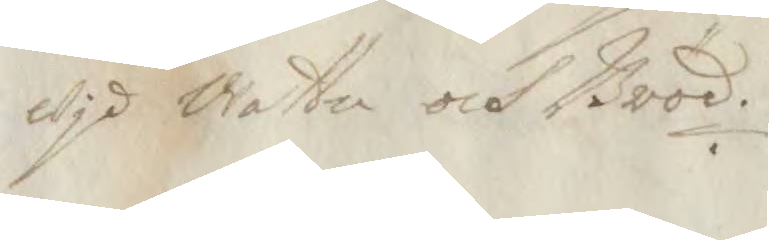wid wattn och Bröd.
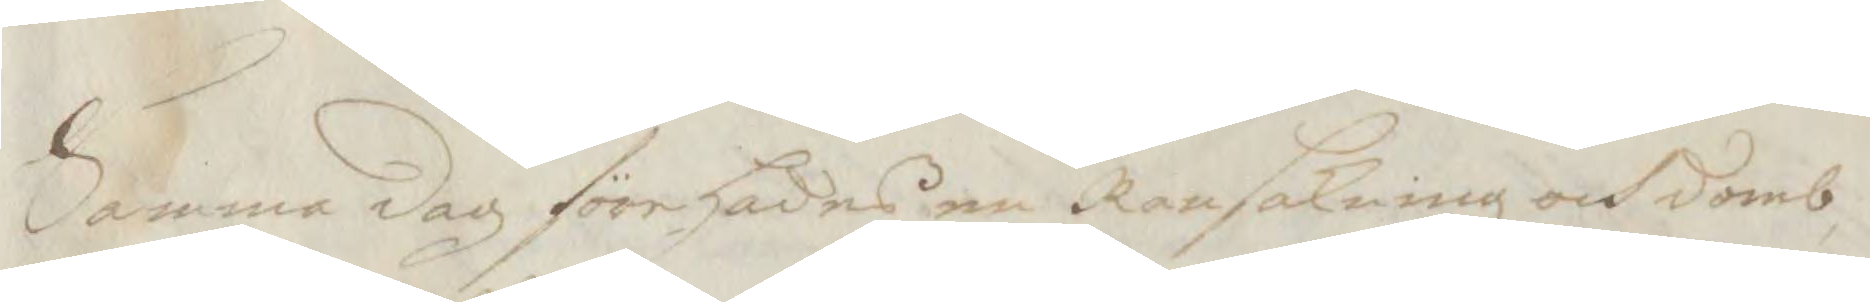Samma dag förehades en Ransakning och domb
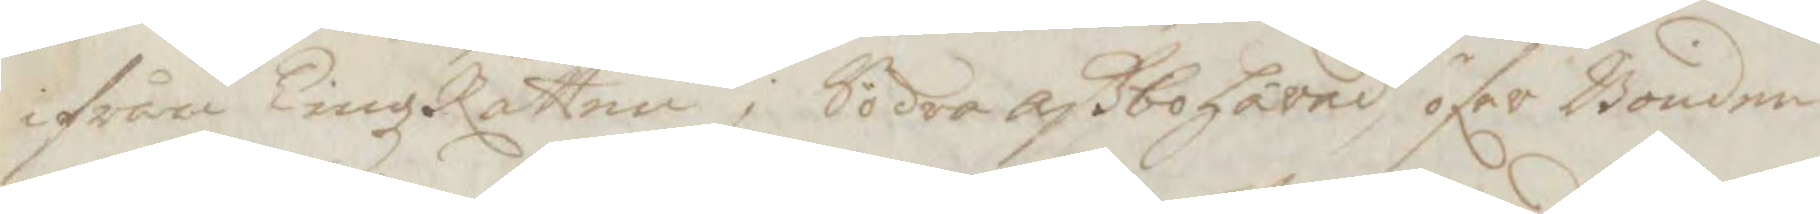ifrån TingzRätten j Södra aVbohärad, lfer Bonden
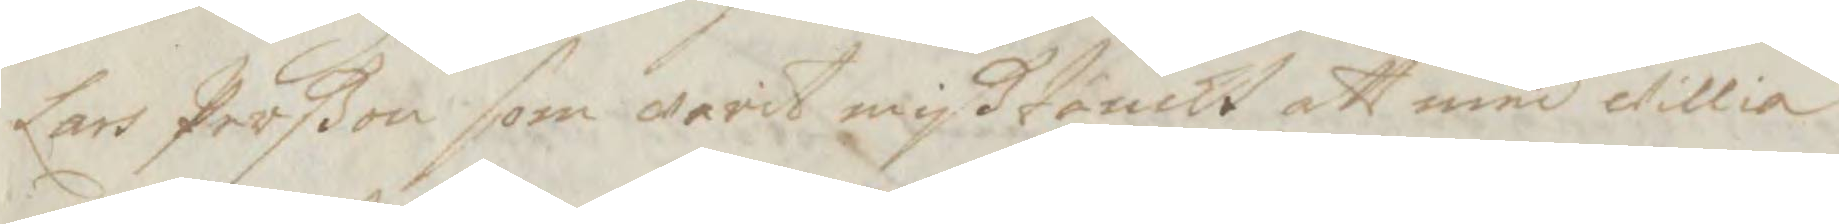Lars Perßon som warit mißtänckt att med willia
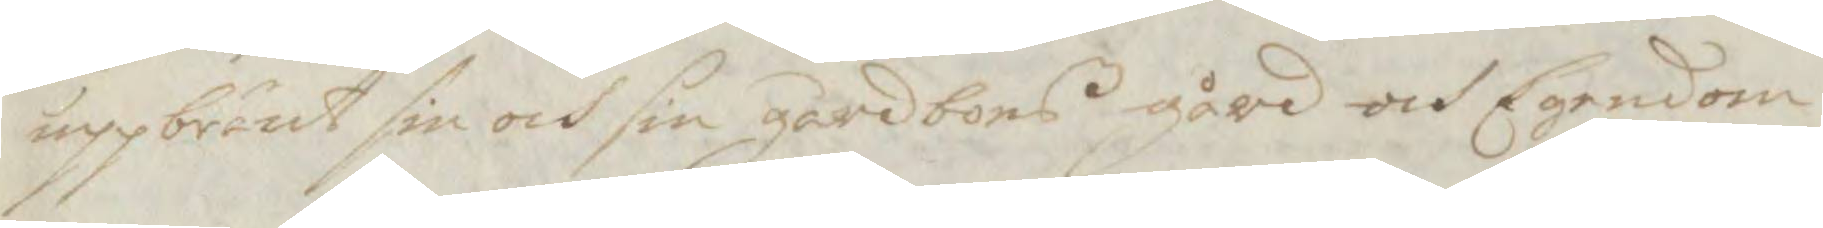uppbränt sin och sin gårdbors gård och Egendom,
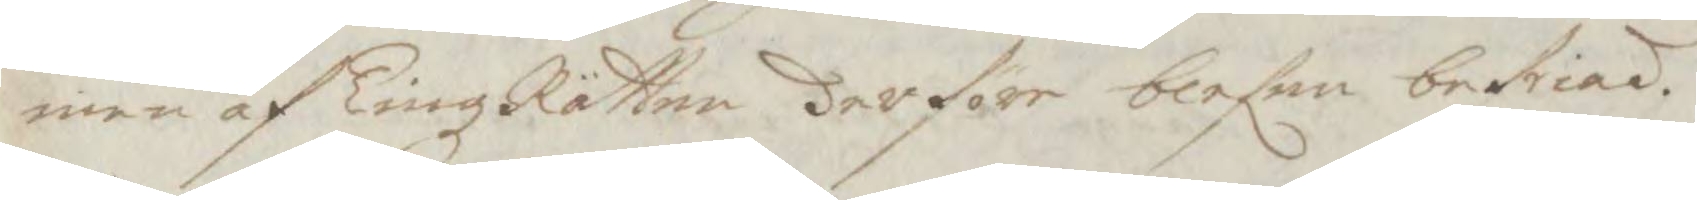,en af TingzRätten derföre blefen befriad.
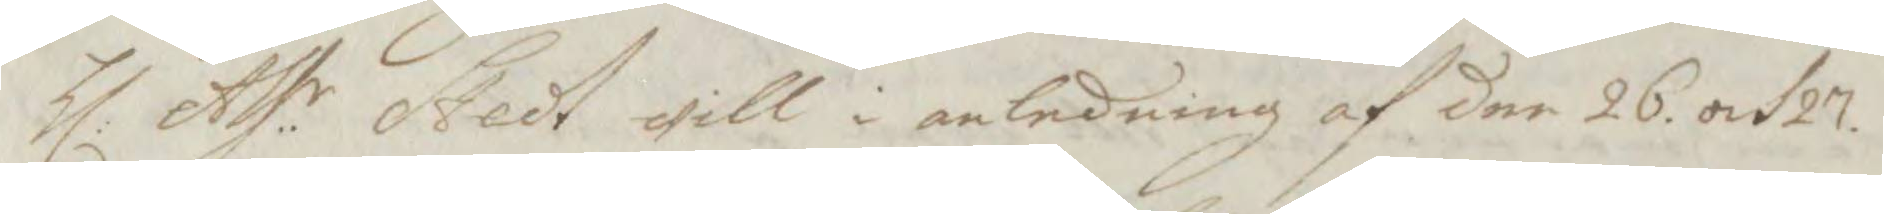Hl: Ass:r Stedt will i anledning af der 26. och 27.
